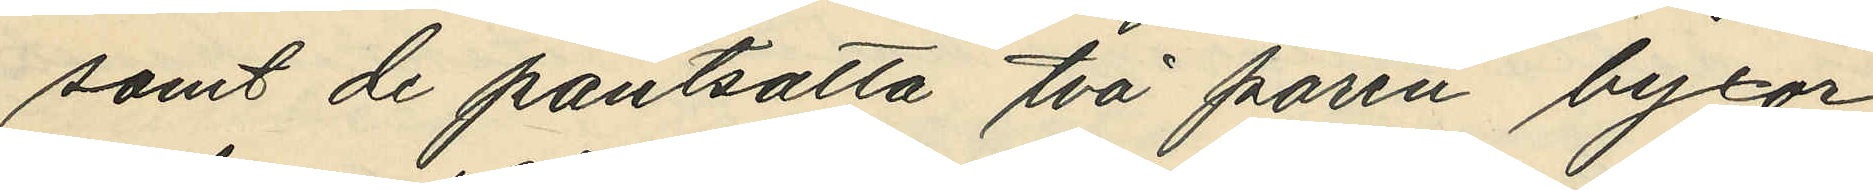samt de pantsatta två paren byxor
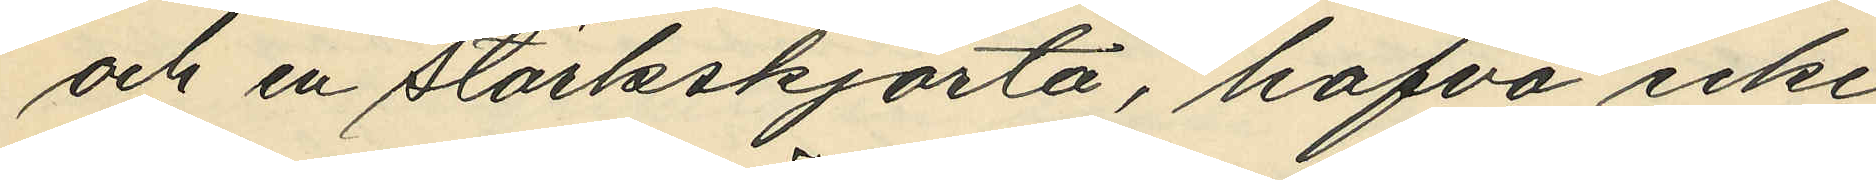och en stärkskjorta, hafva icke
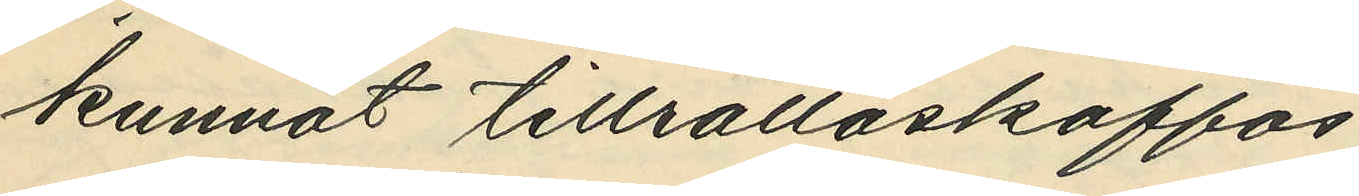kunnat tillrättaskaffas.
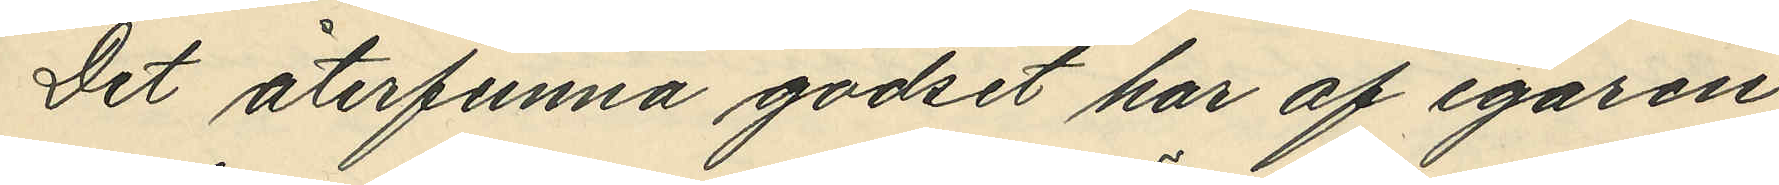Det återfunna godset har af egaren
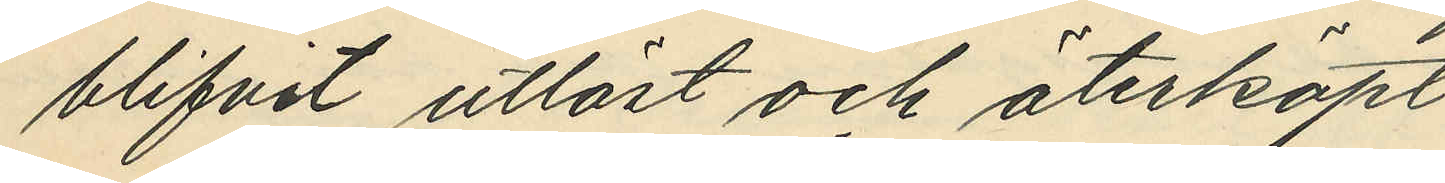blifvit utlöst och återköpt.
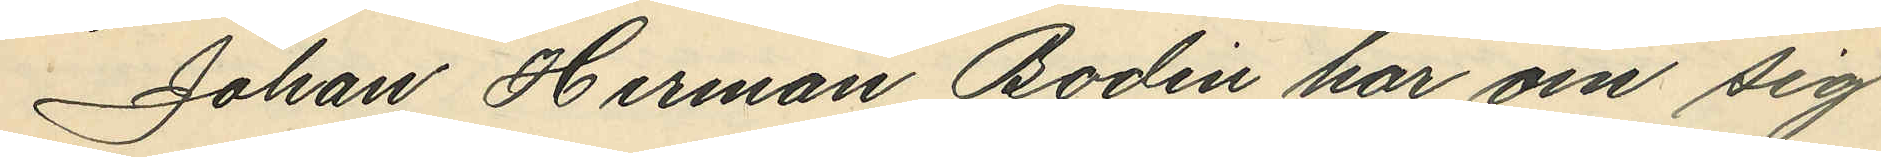Johan Herman Bodin har om sig
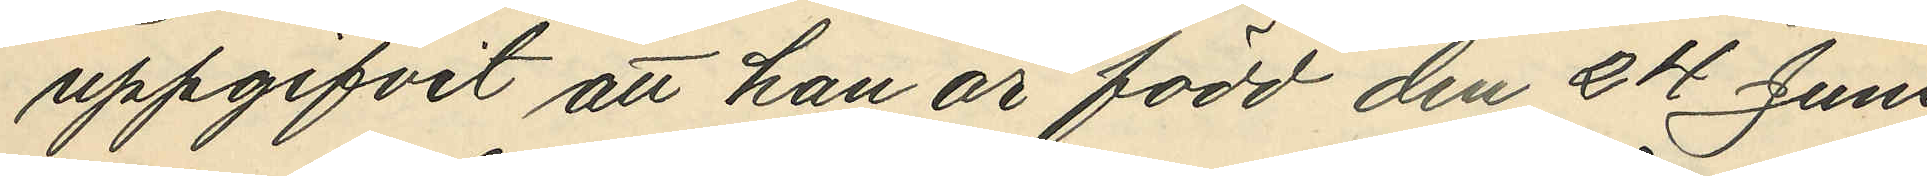uppgifvit att han är född den 24 Juni
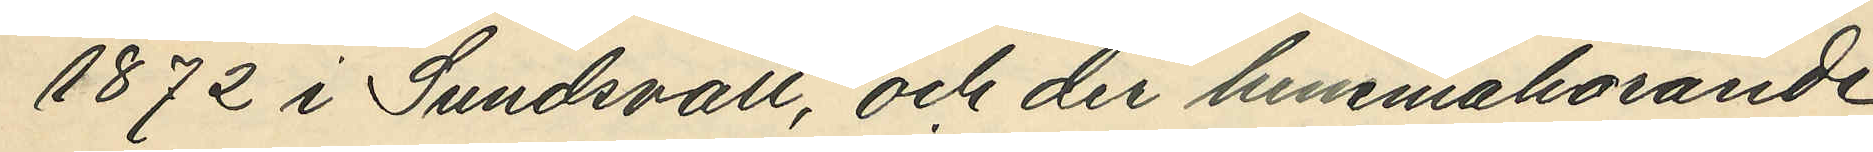1872 i Sundsvall, och der hemmanhörande.
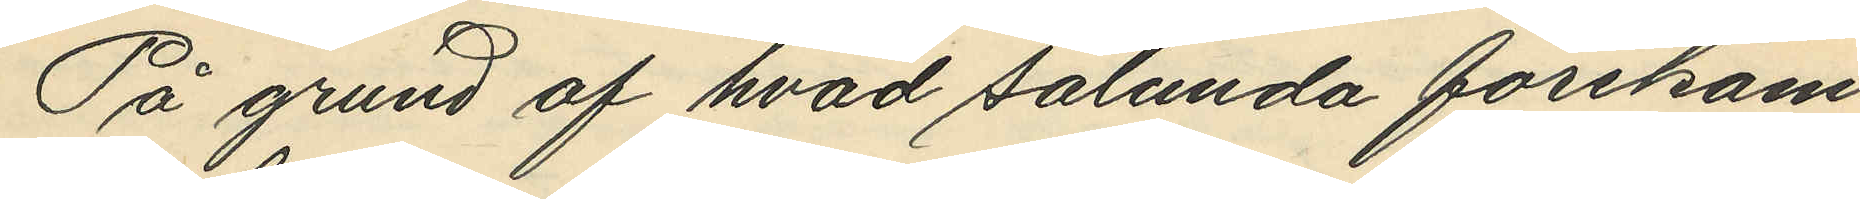På grund af hvad sålunda förekom¬
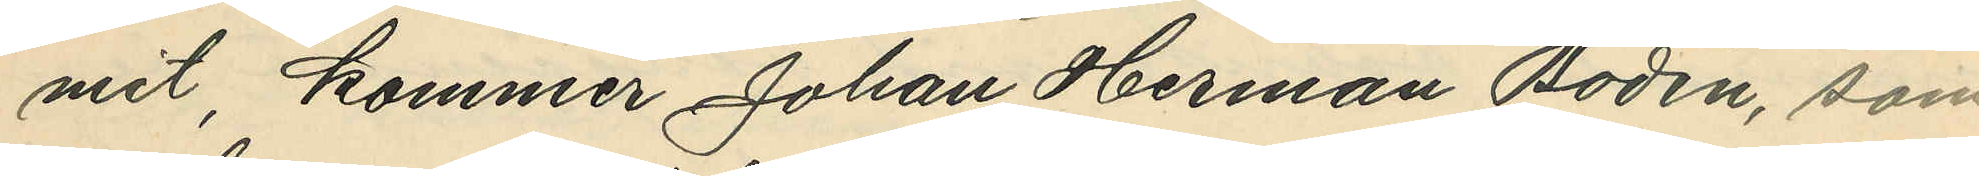mit, kommer Johan Herman Bodin, som
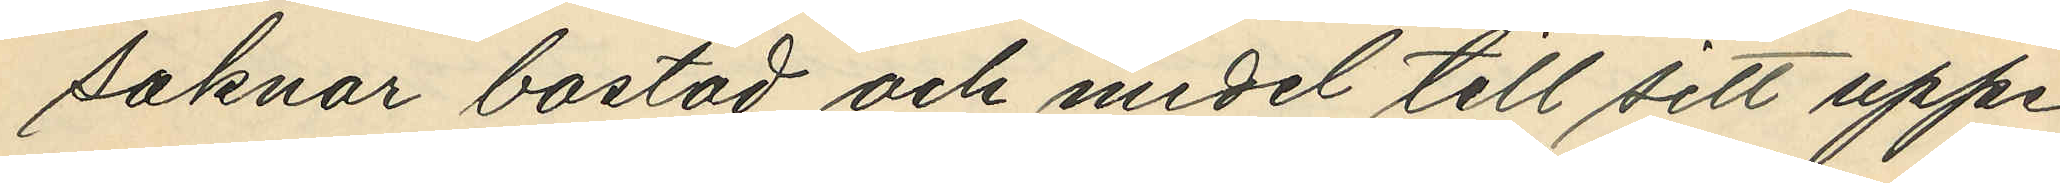saknar bostad och medel till sitt uppe¬
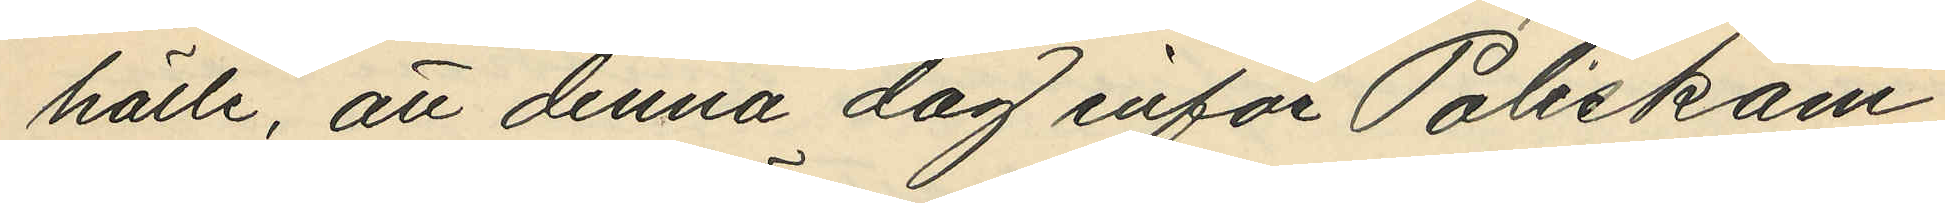hälle, att denna dag inför Poliskam¬
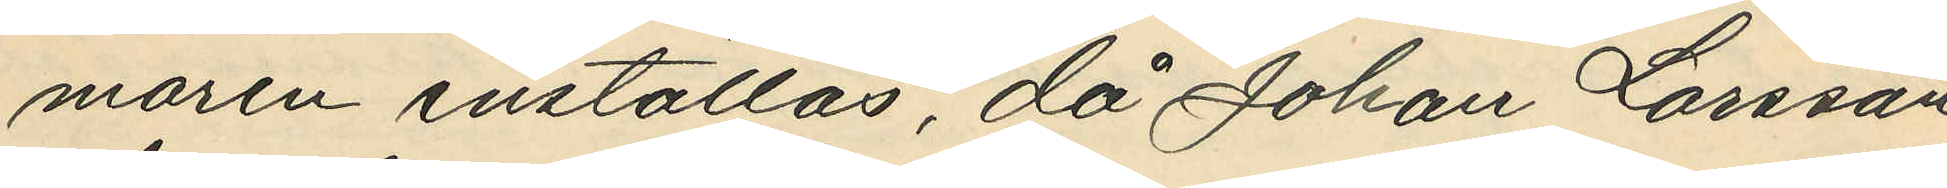maren inställas, då Johan Larsson
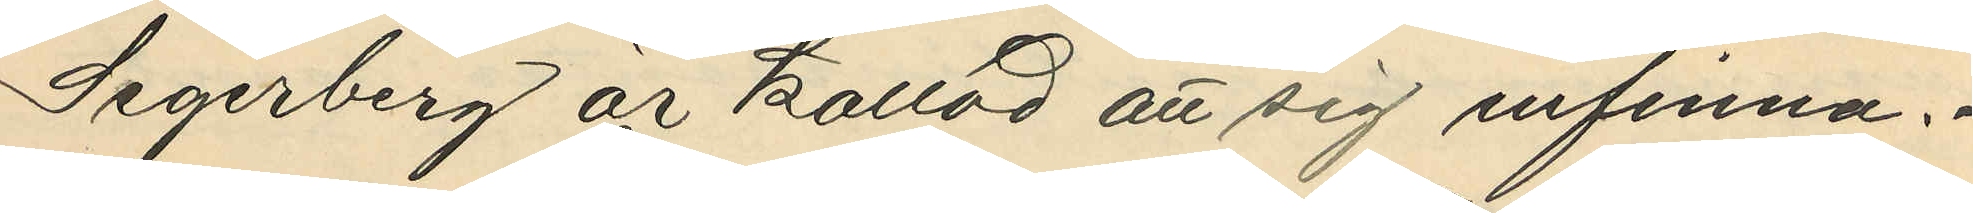Segerberg är kallad att sig infinna.
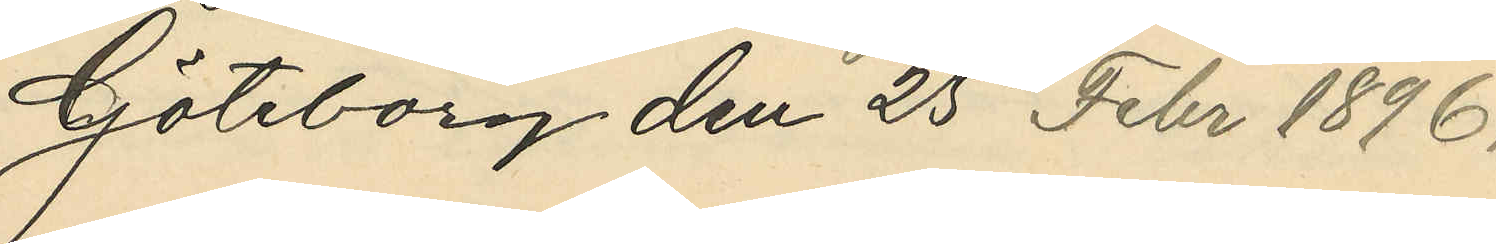Göteborg den 25 Febr 1896.
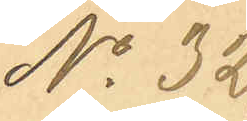No 32
